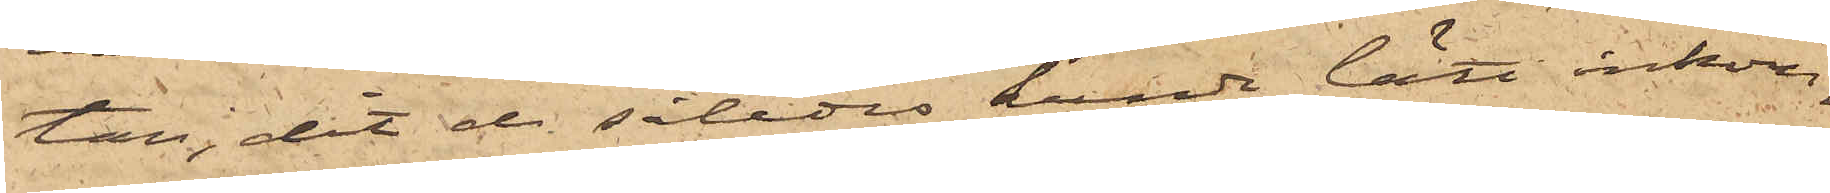tan, dit de således kunde lätt inkom¬
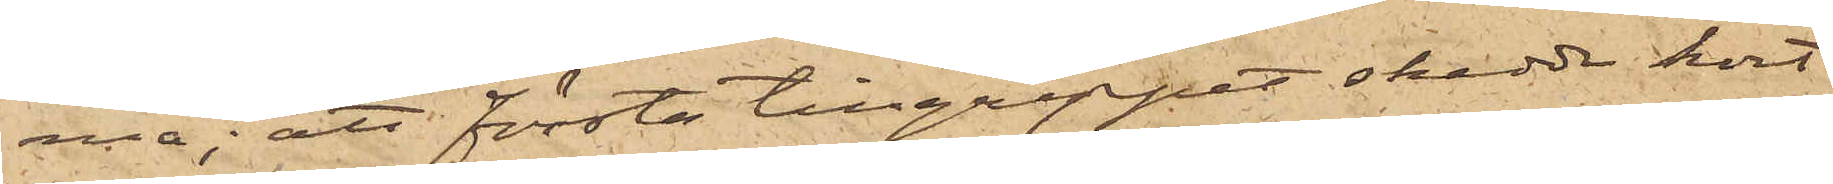ma; att första tillgreppet skedde kort
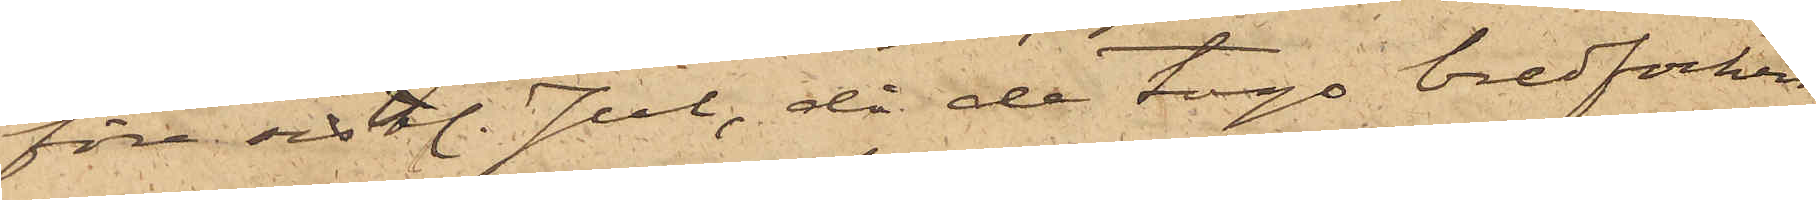före sistl. Jul, då de togo bredfocken,
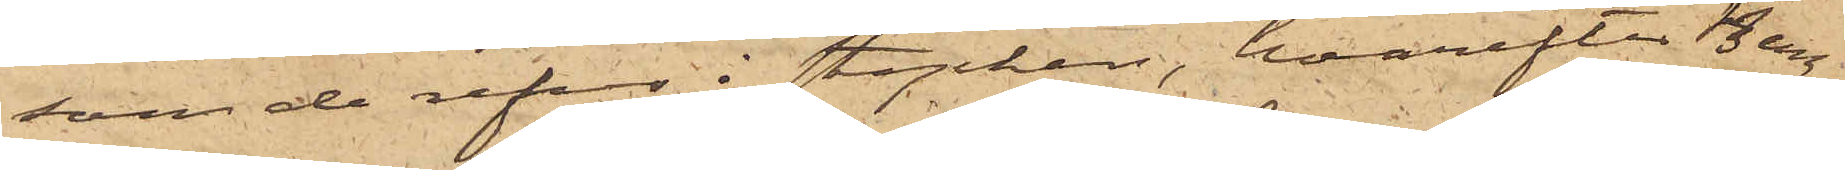som de refvo i stycken, hvarefter Berg¬
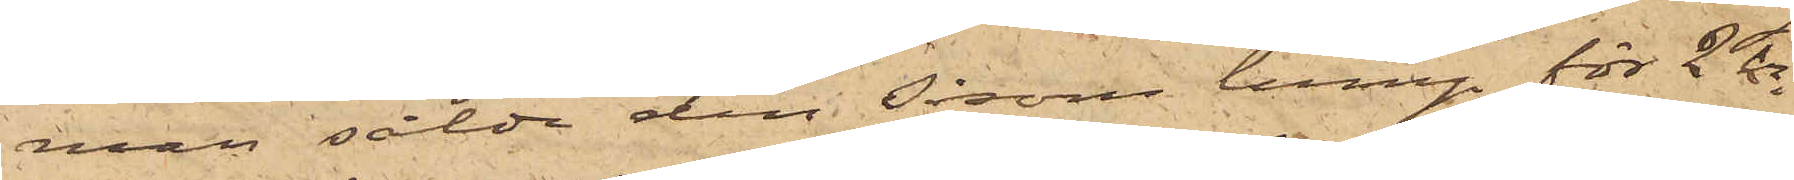man sålde den såsom lump för 2 kr
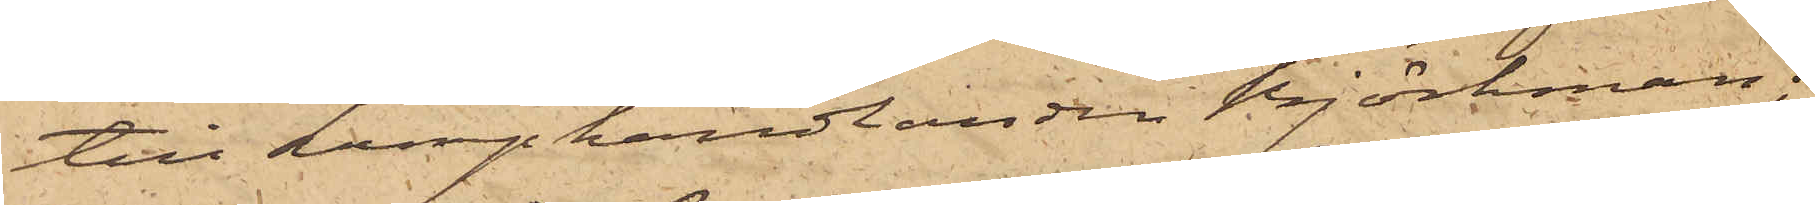till Lumphandlanden Björkman;
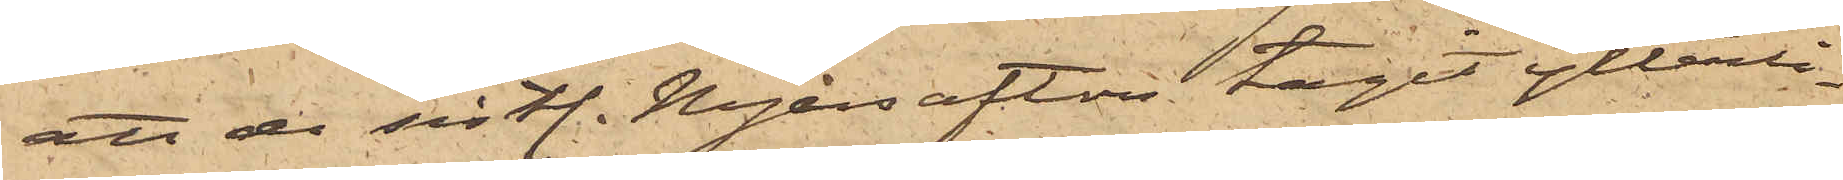att de sistl. Nyårsafton tagit ytterli¬
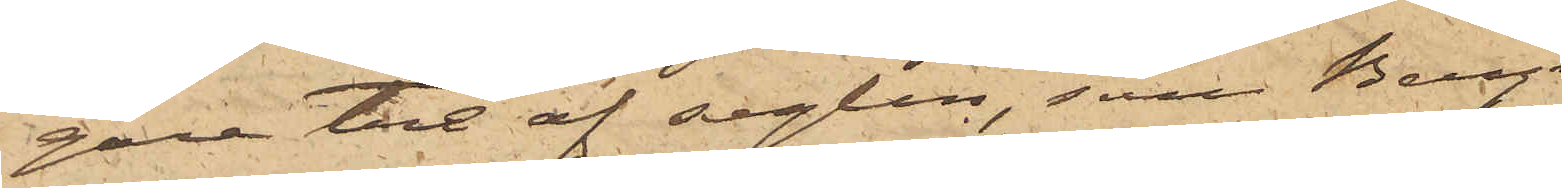gare tre af seglen, som Bergman
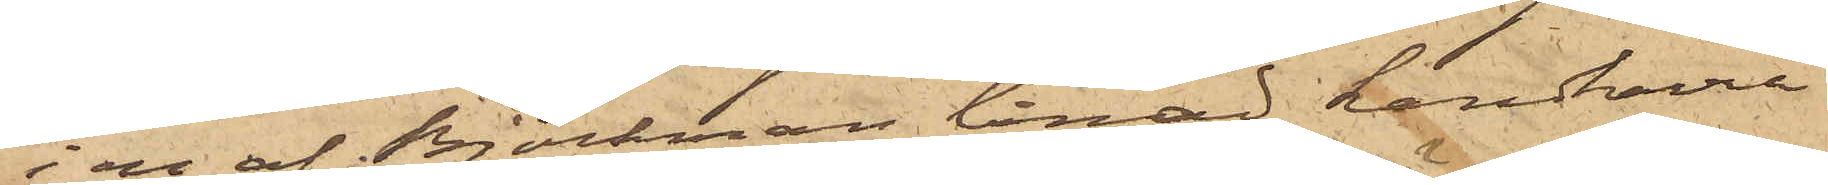i en af Björkman lånad handkärra
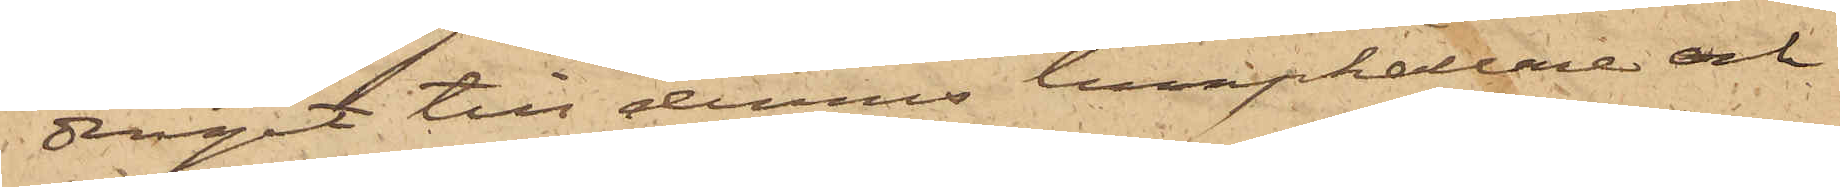dragit till dennes lumpkällare och
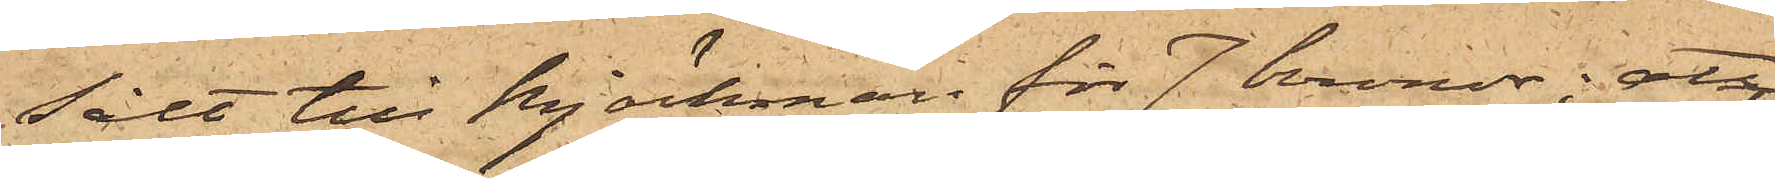sålt till Björkman för 7 kronor; att
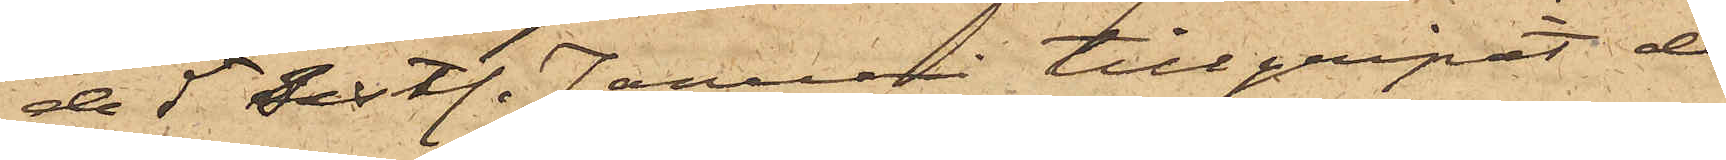de 5 sistl. Januari tillgripit de
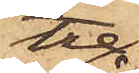tre
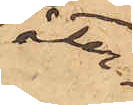åter¬
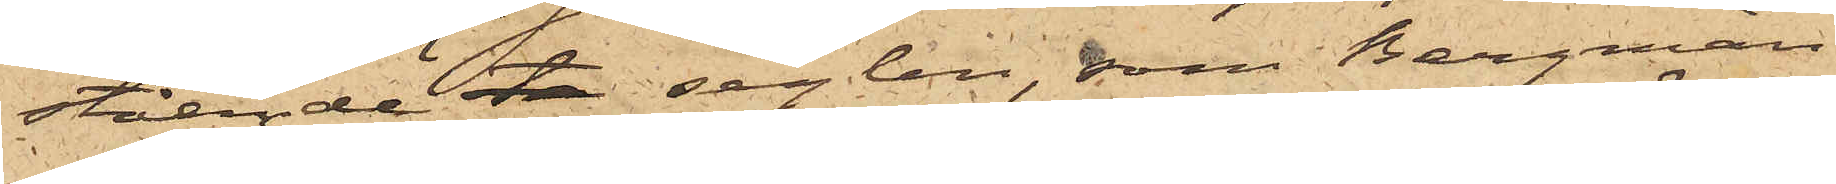stående seglen, som Bergman
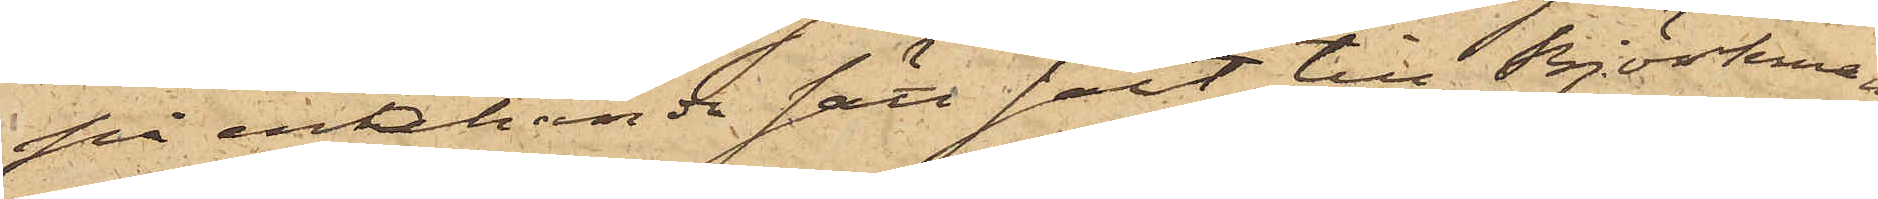på enahanda sätt sålt till Björkman
